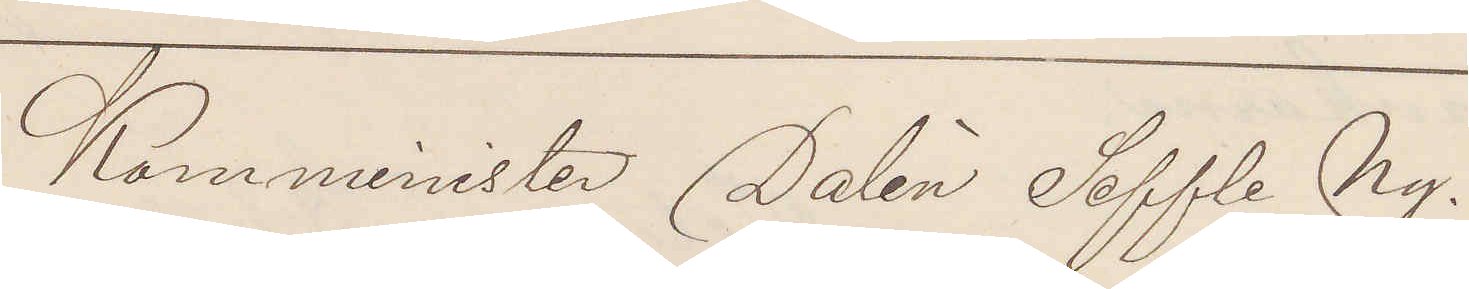Komminister Dalén Seffle Ny.
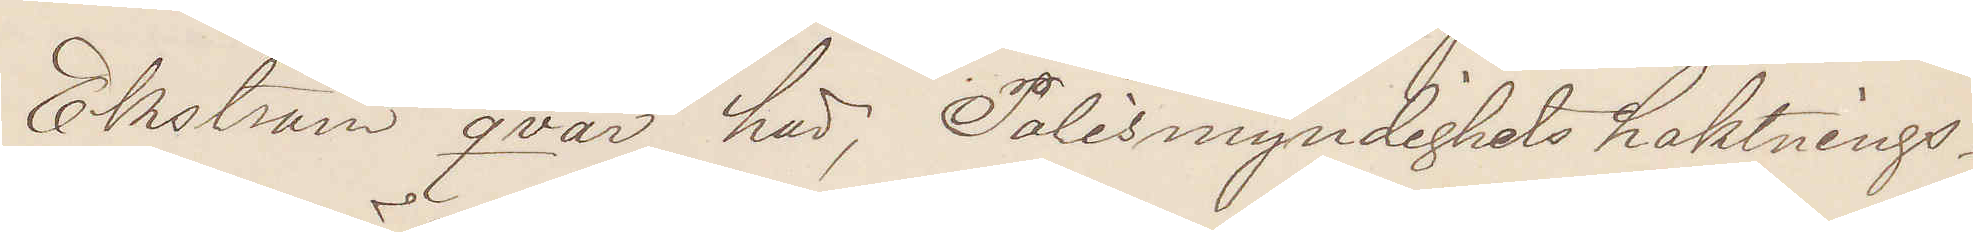Ekström qvar här, Polismyndighets häktnings¬
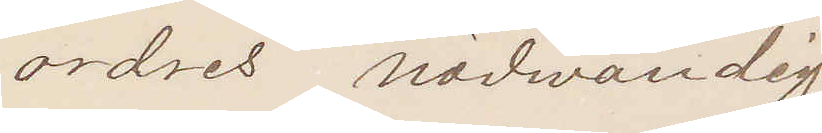ordres nödwändig
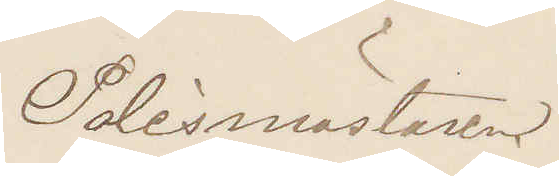Polismästaren.
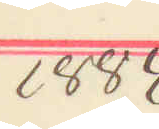1884
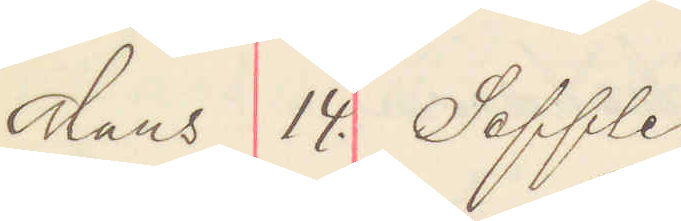Mars 14. Seffle.
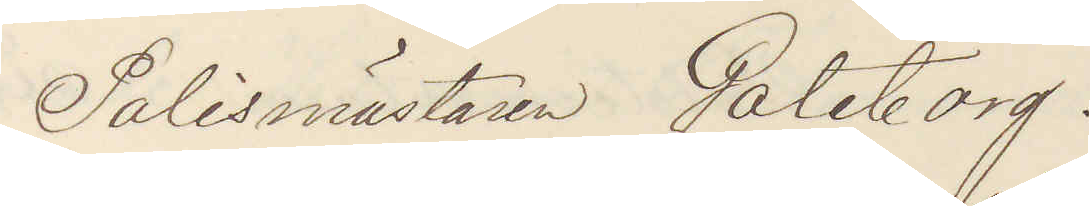Polismästaren Göteborg.
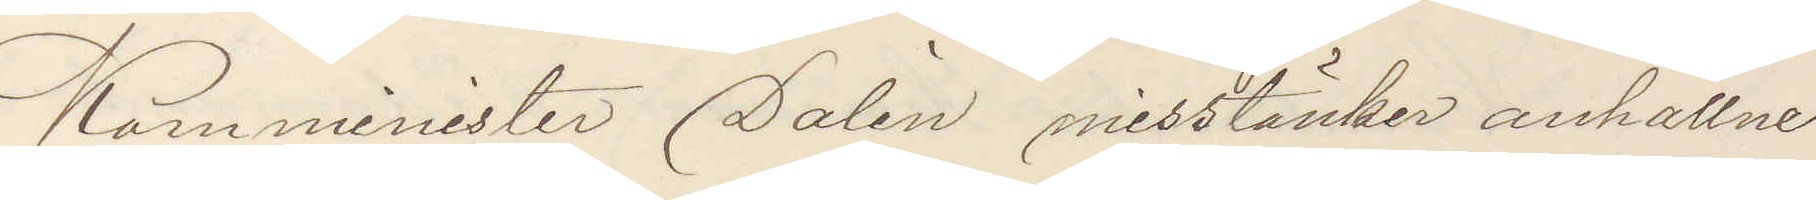Komminister Dalén misstänker anhållne
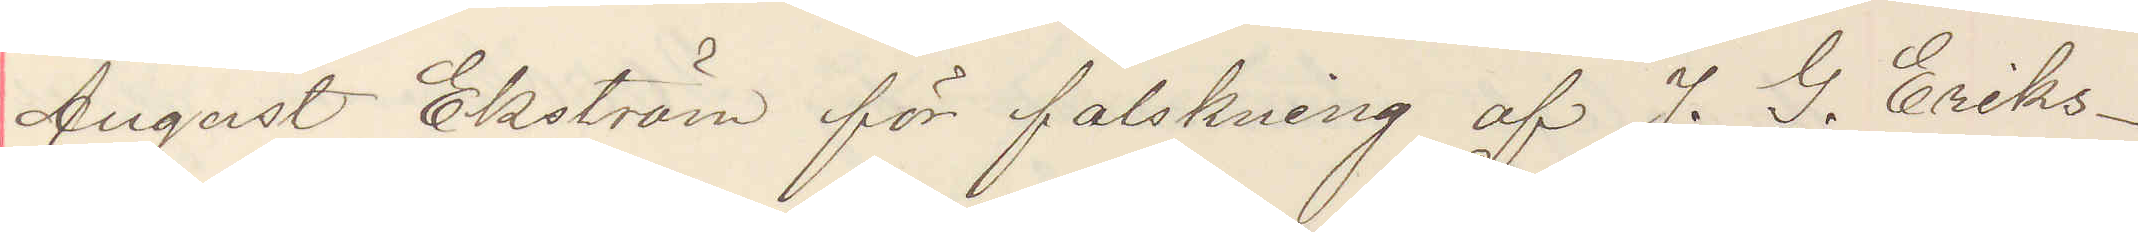August Ekström för falskning af J. G. Eriks¬
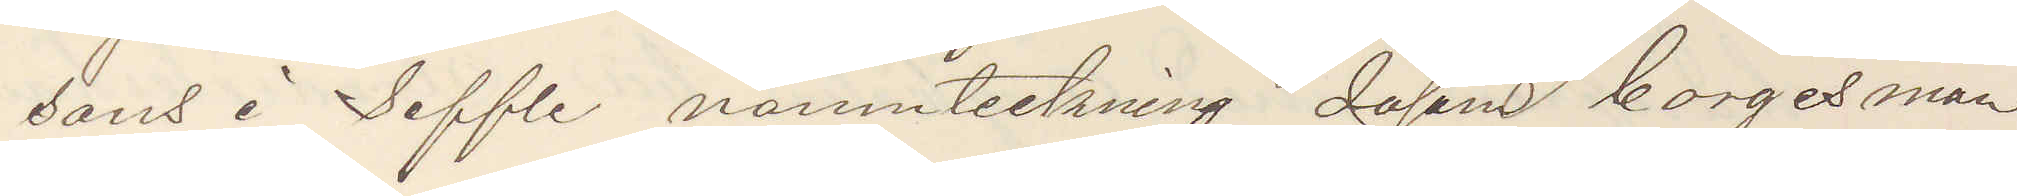sons i Seffle namnteckning såsom borgensman
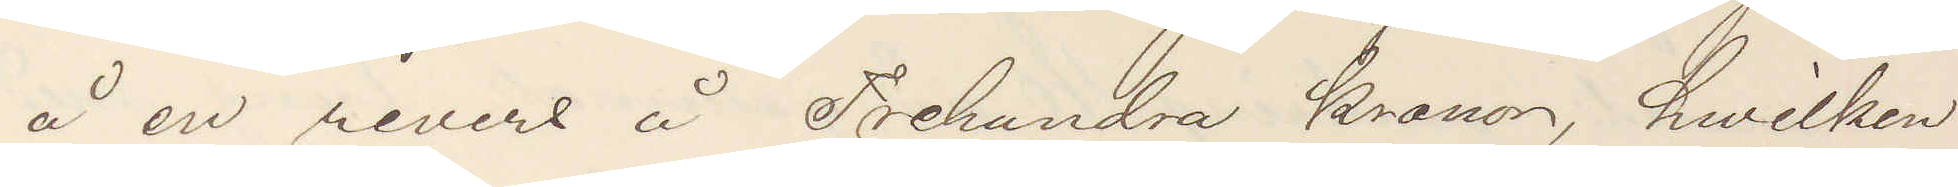å en revers å trehundra kronor, hvilken
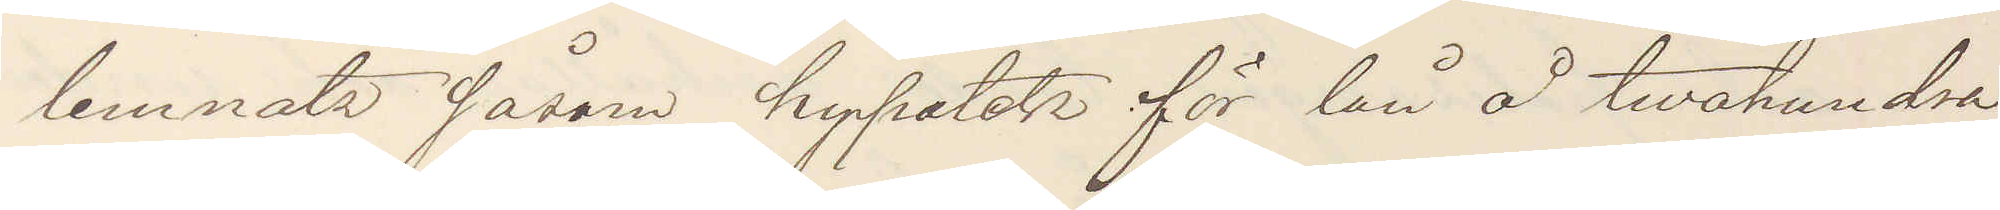lemnats såsom hypotek för lån å tvåhundra
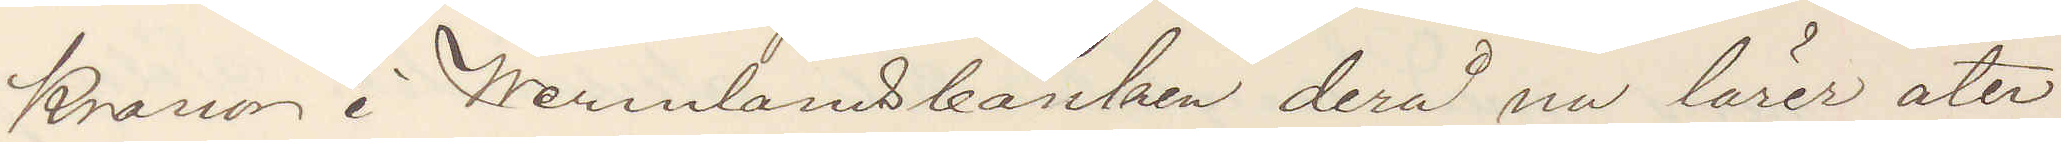Kronor i Wermlandsbanken derå nu lärer åter¬
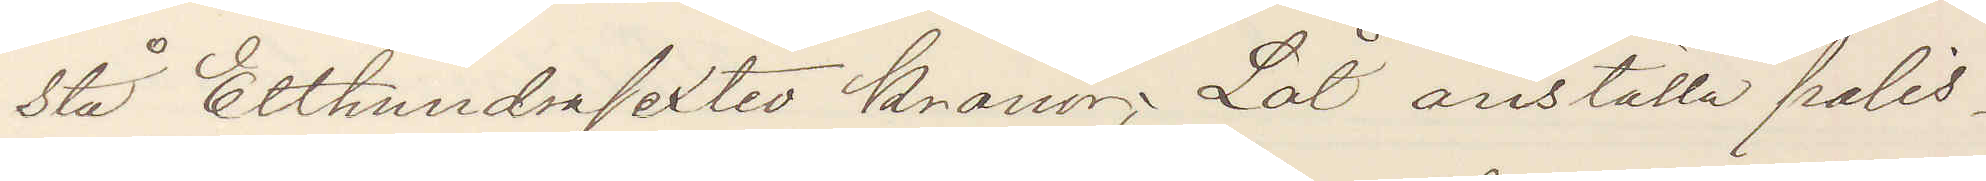stå Etthundrasextio Kronor; Låt anställa polis¬
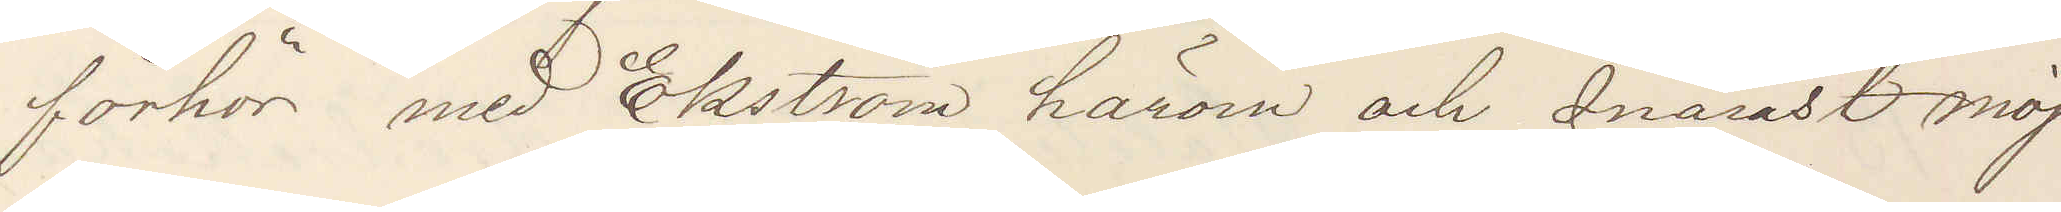förhör med Ekström härom och snarast möj¬
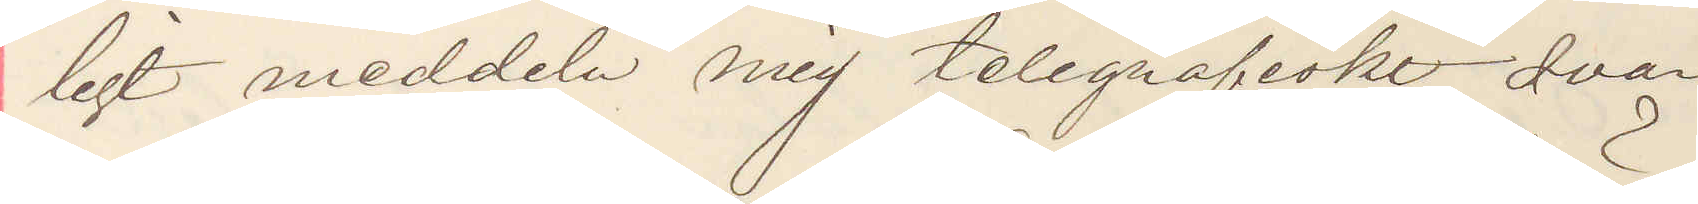ligt meddela mig telegrafiskt svar
